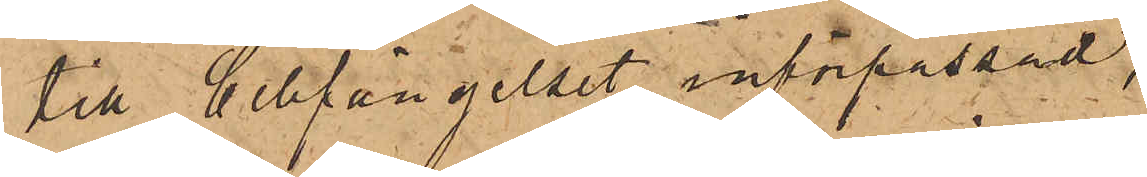till Cellfängelset införpassad,
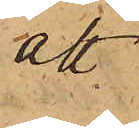att
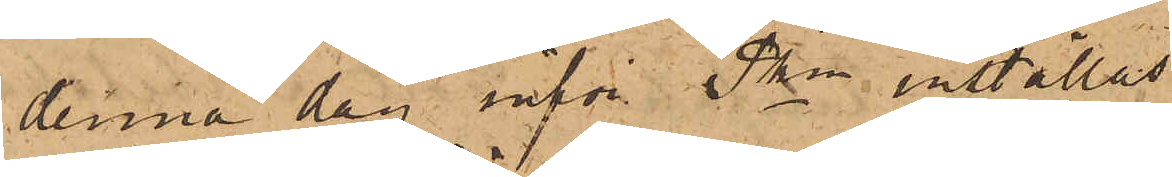denna dag inför Pkn inställas.
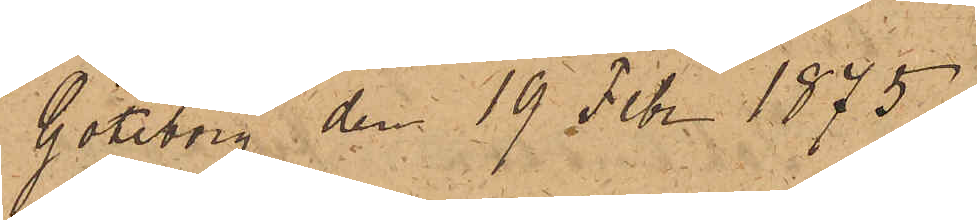Göteborg den 19 Febr. 1875
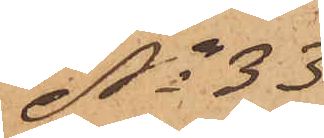No 33
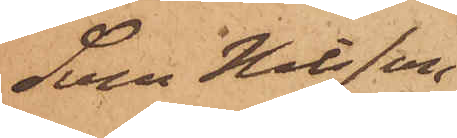Sven Nilsson
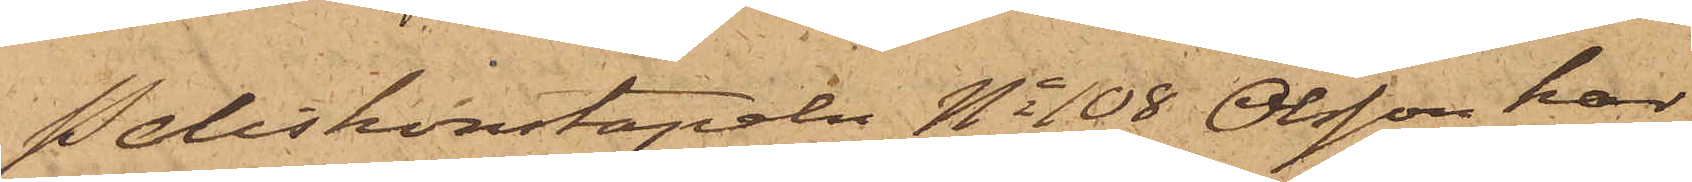Poliskonstapeln No 108 Olsson har
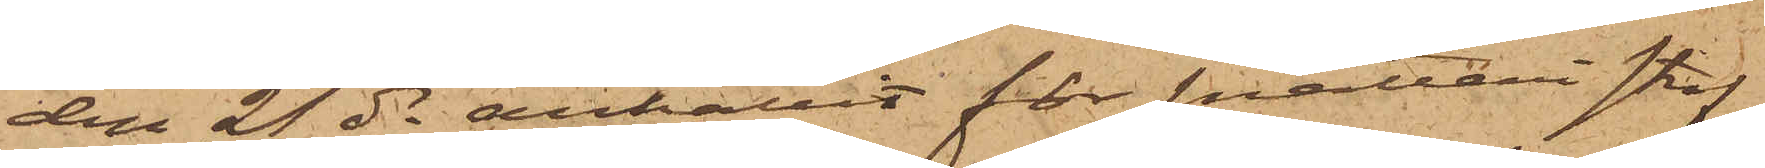den 21 ds anhållit för snatteri straf¬
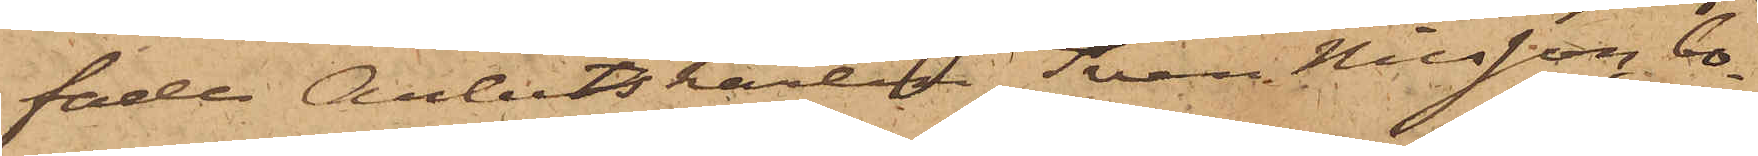fade Arbetskarlen Sven Nilsson, bo¬
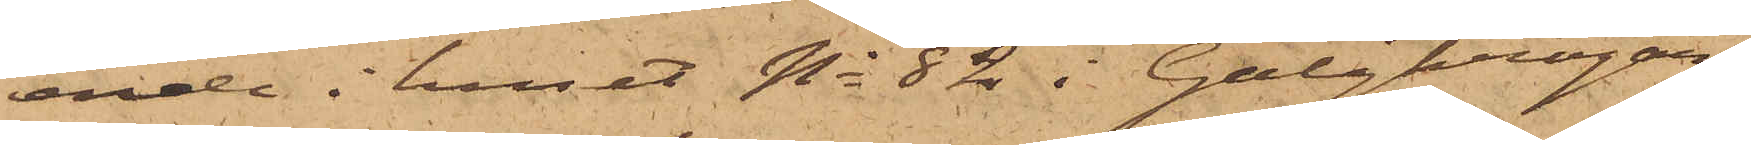ende i huset No 82 i Galgkrogar¬
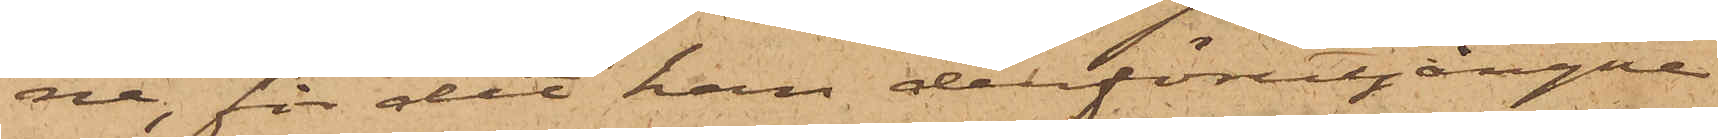na, för det han derförutgångne
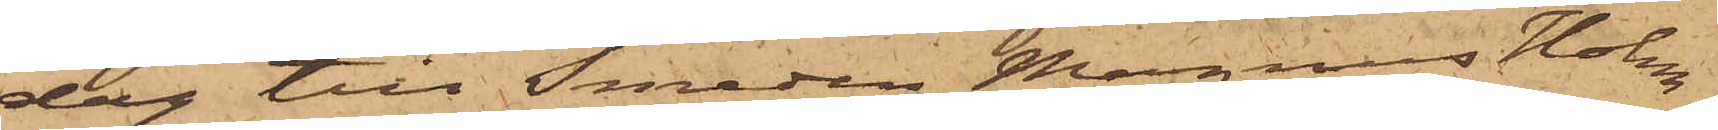dag till Smeden Magnus Holm¬
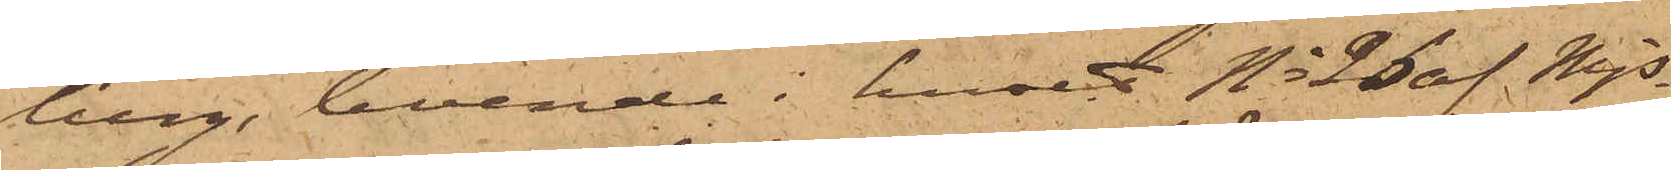berg, boende i huset No 26 af Mjs
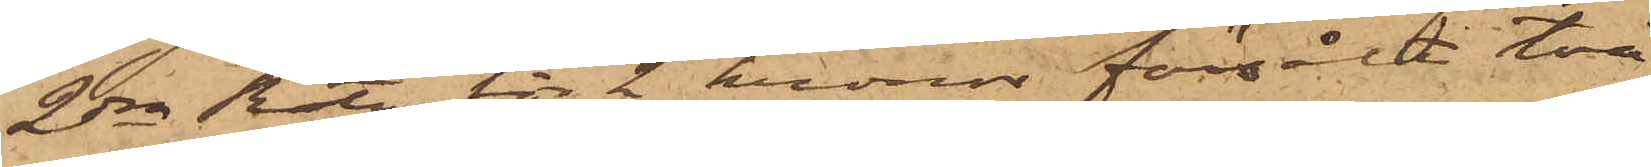2dra Rote, för 2 kronor försålt två
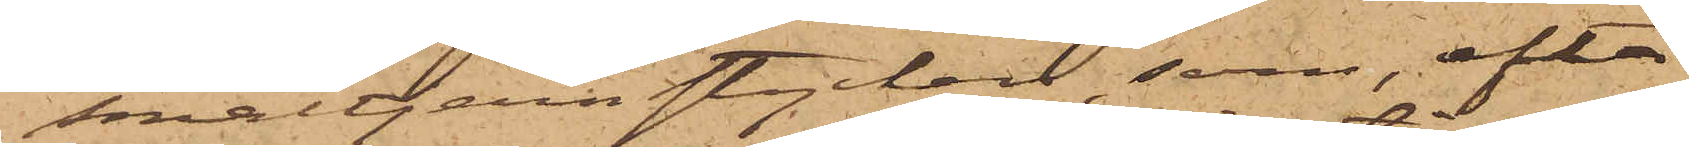smältjernstycken, som, efter
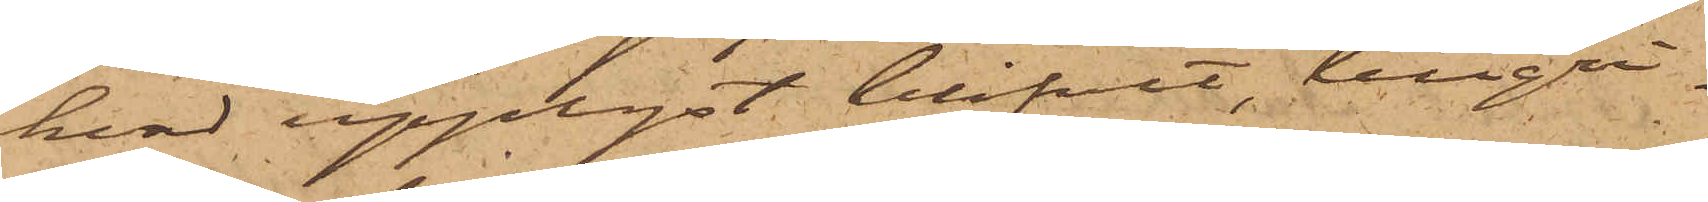hvad upplyst blifvit, tillgri¬
